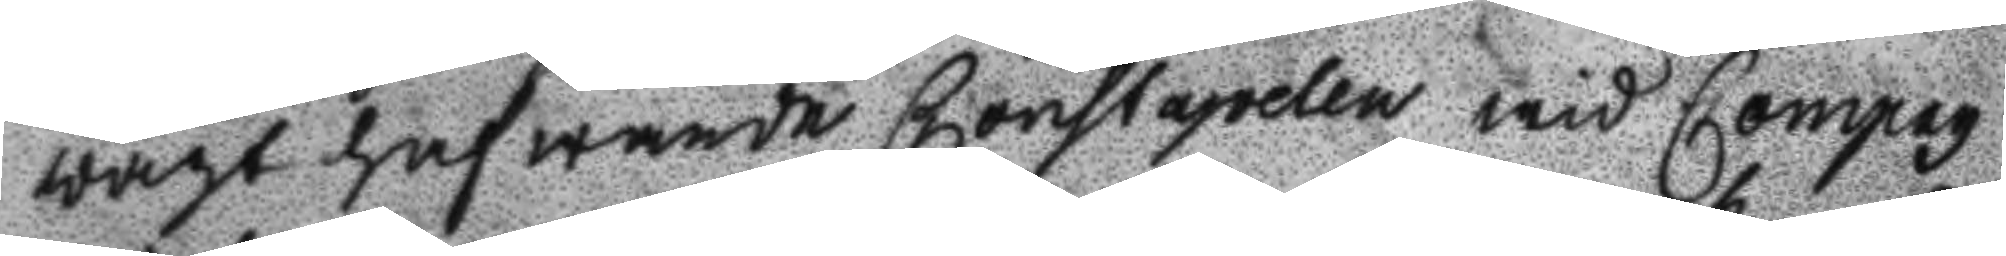wagt hafwande Constapelen wid Compag
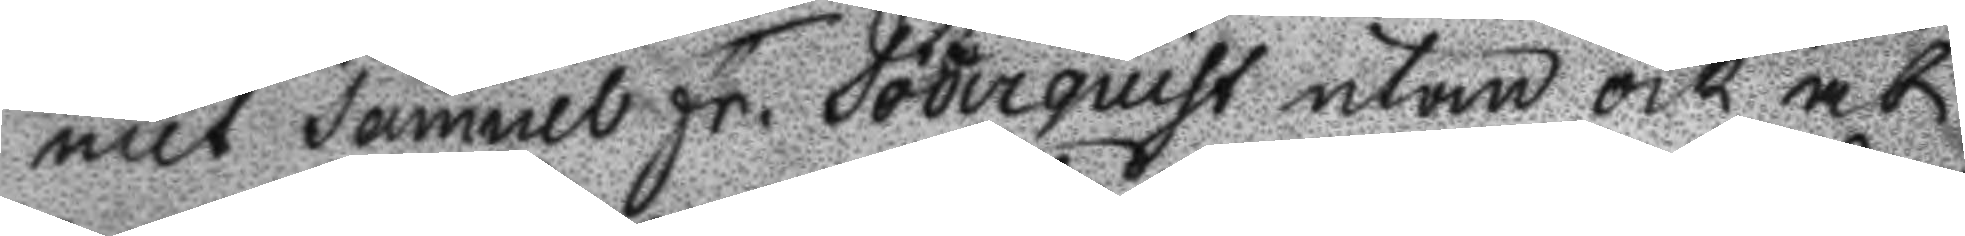niet Samuel Fr. Söderquist utan ock at
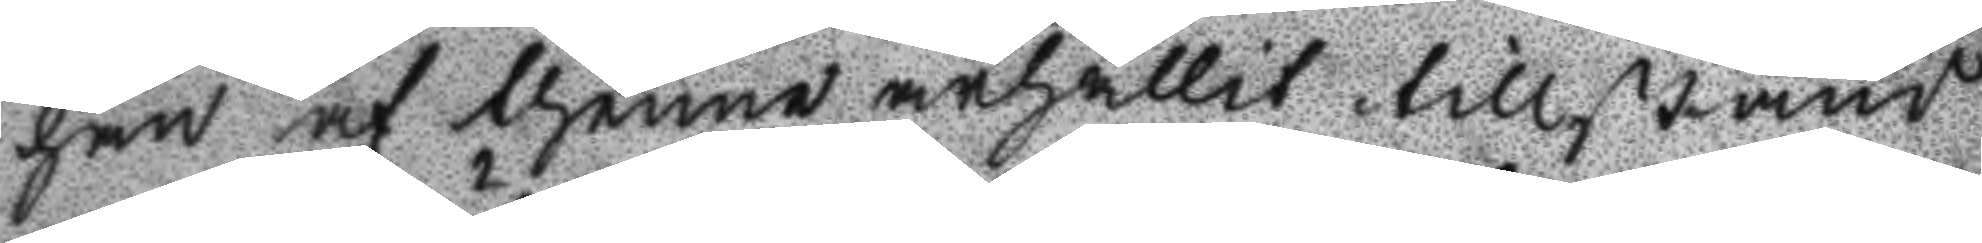han af thenne ärhållit tillstånd
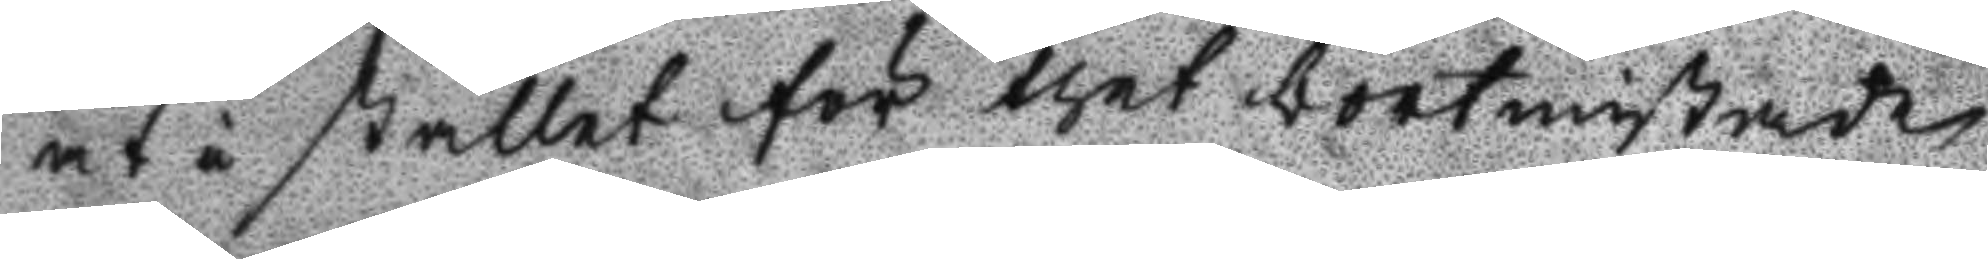at i stället för thet bortmistade
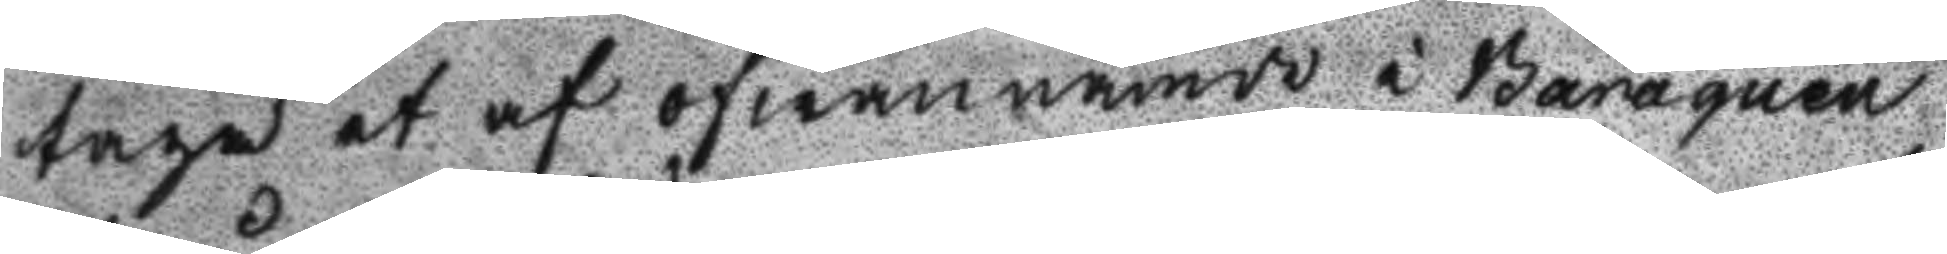taga et af ofwannämde i Baraquen
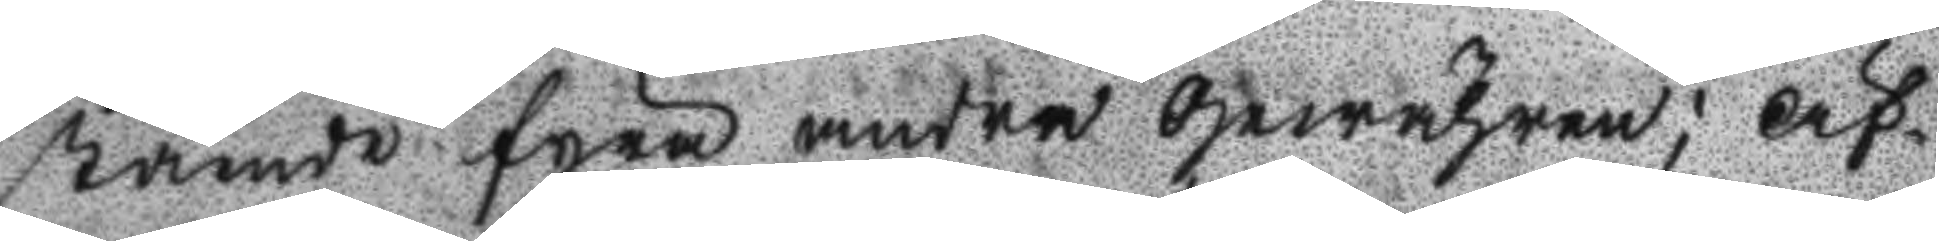stående fyra andra gewähren; Äf¬
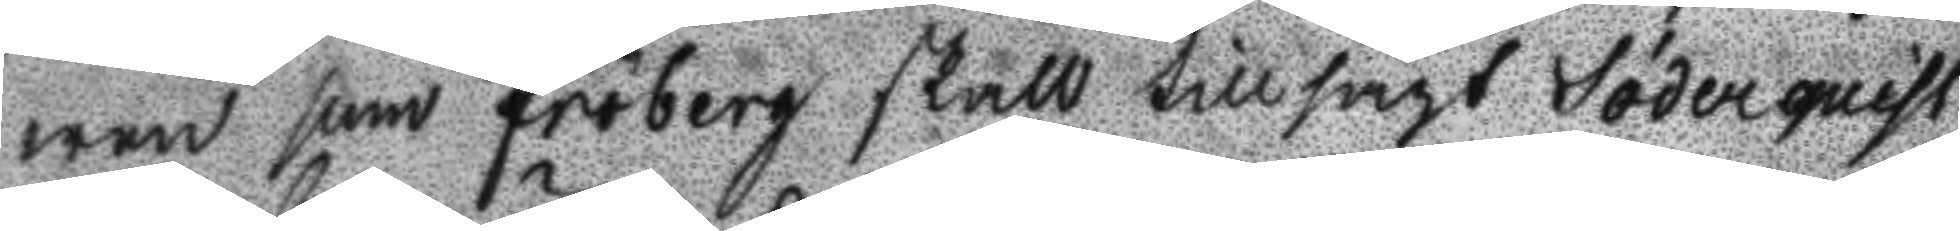wen som Fröberg skall tillsagt Söderquist
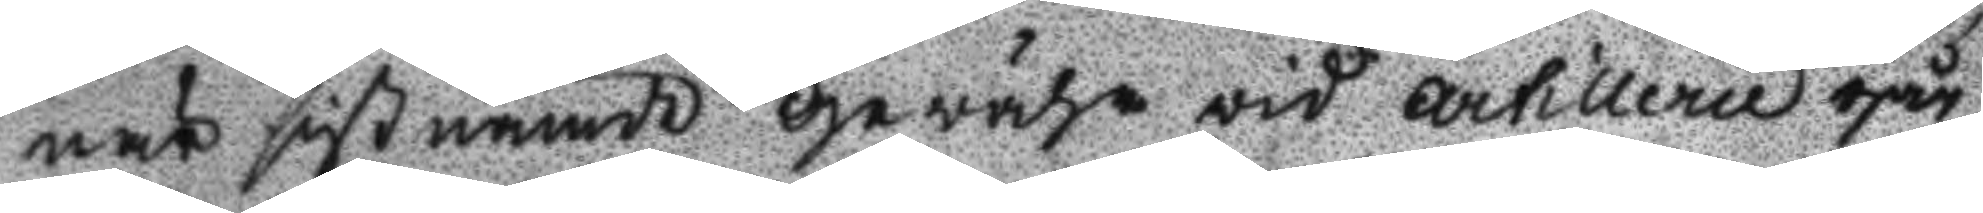när sistnämde gewähr vid artillerie går
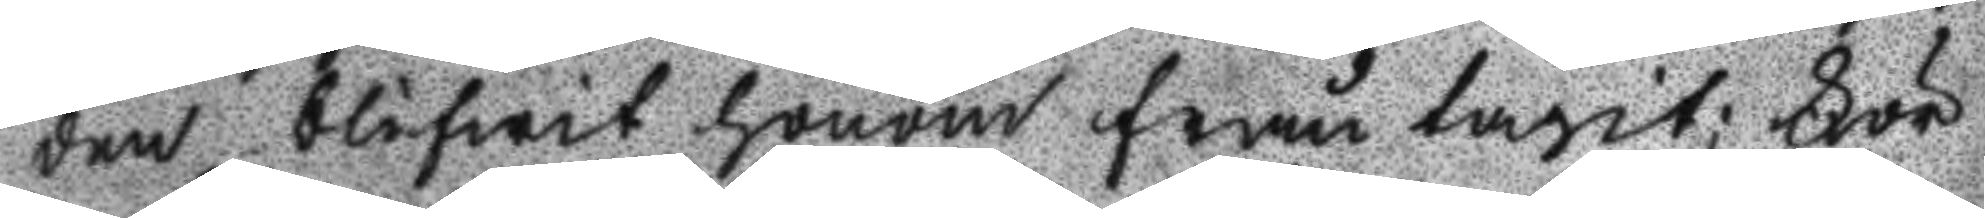den blifwit honom fråntagit; För
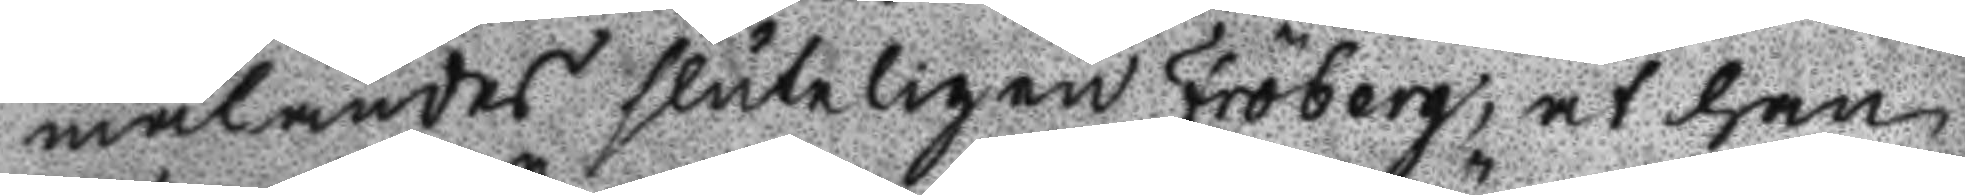mälandes sluteligen Fröberg, at han
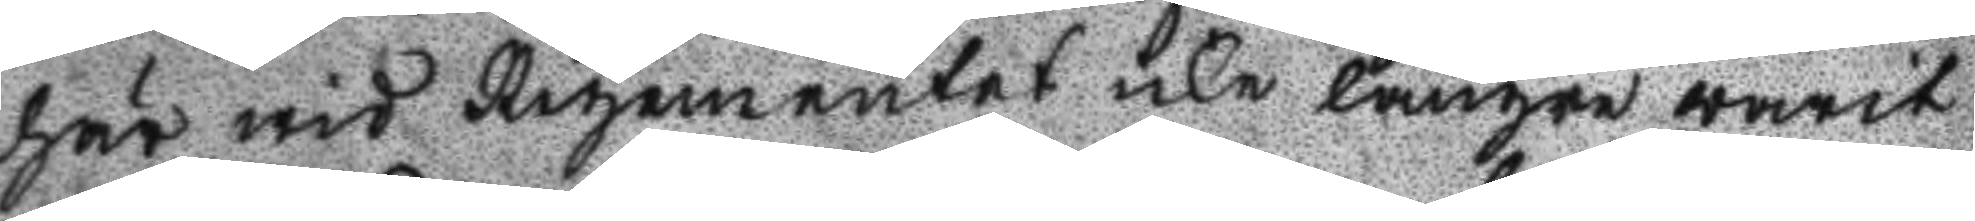här wid Regementet icke längre warit
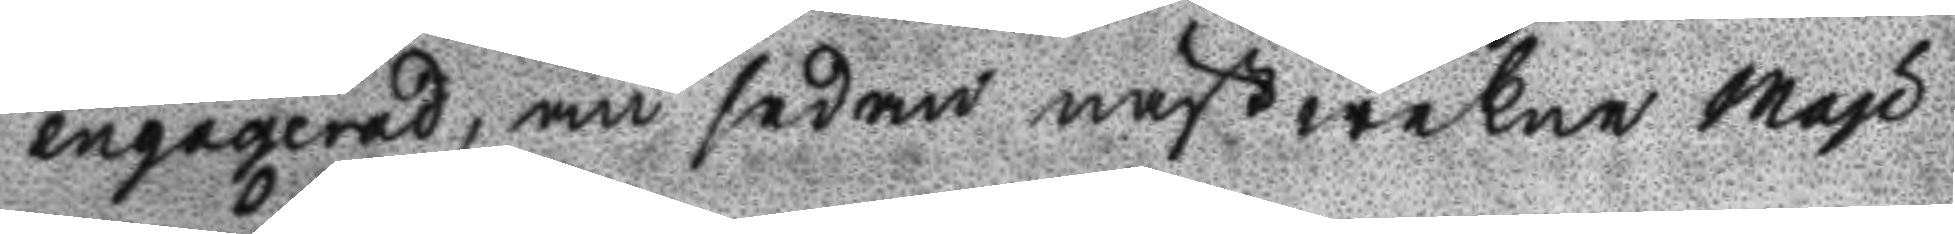engagerad, än sedan nästwekne Maji
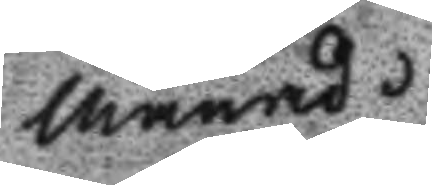månad.
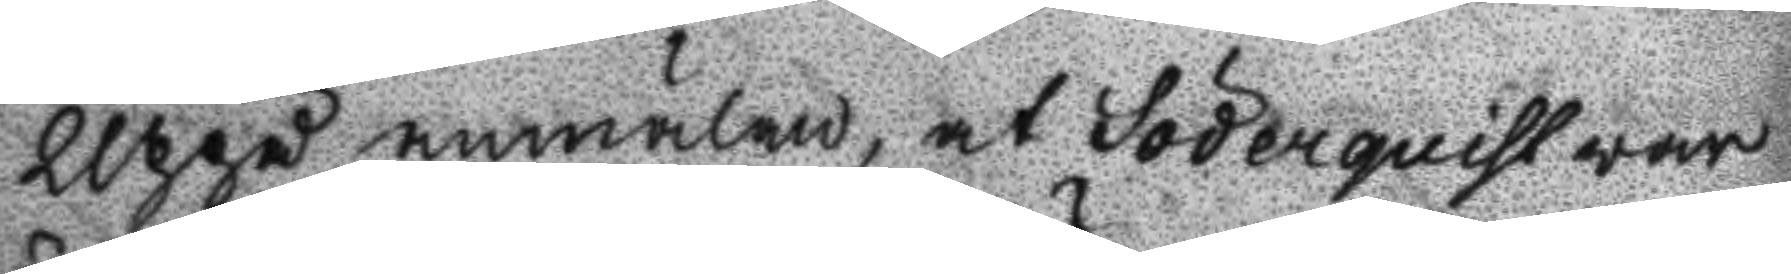Uppå anmälan at Söderquist war
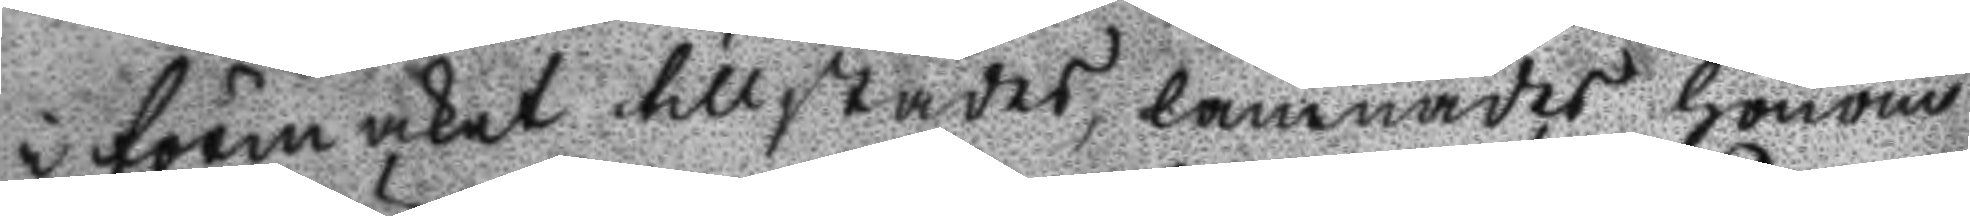i förmaket tillstädes, lämnades honom
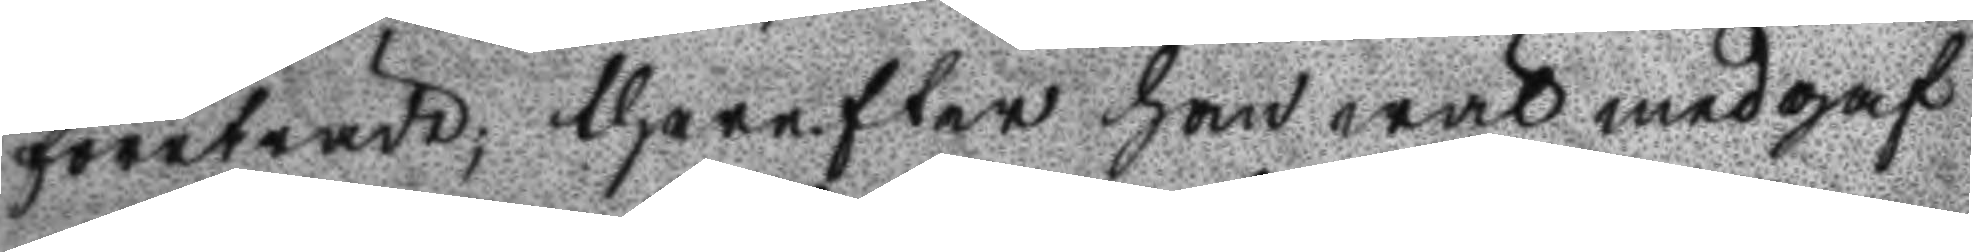företräde; therefter han wäl medgaf
